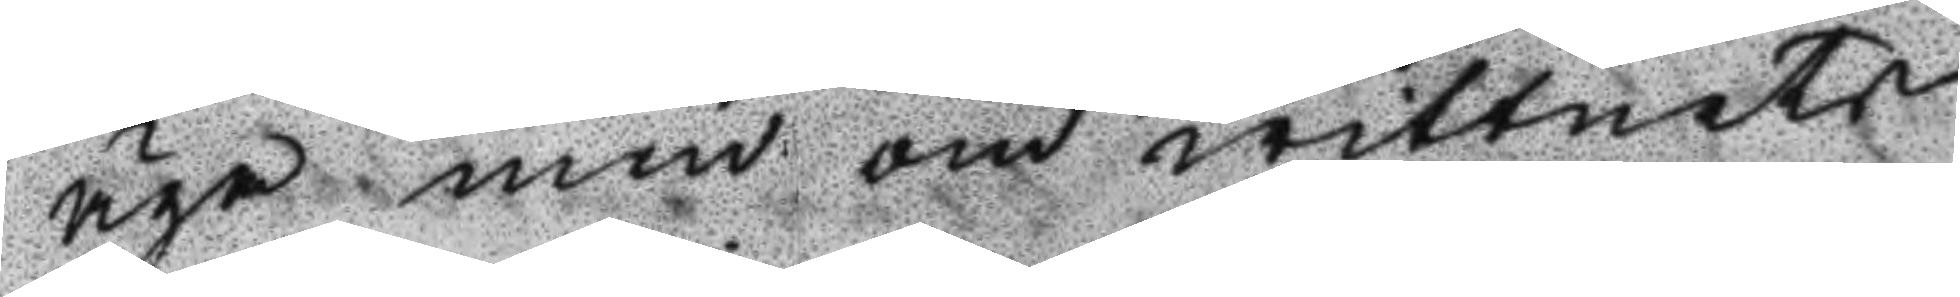äga men om wittnets
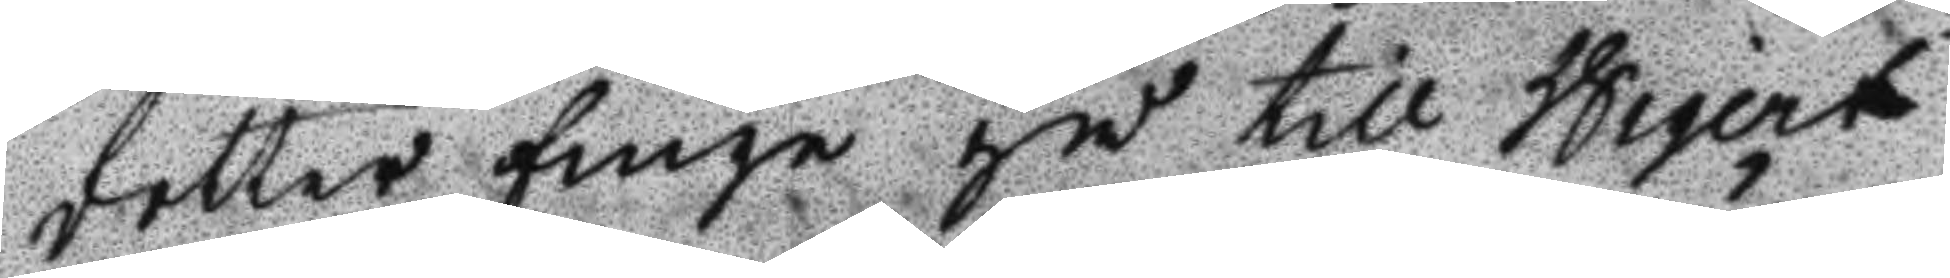dotter finge gå till Wigert
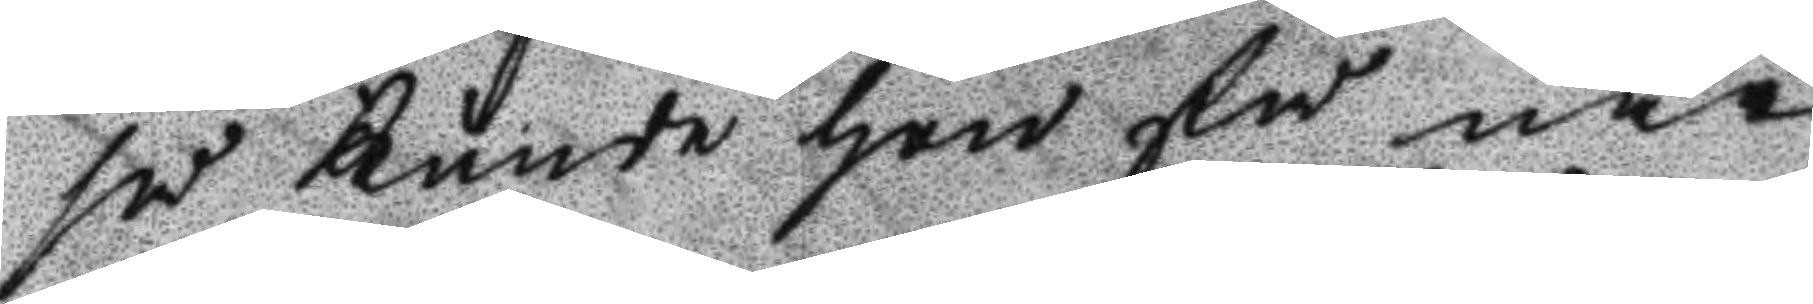så kunde hon få när
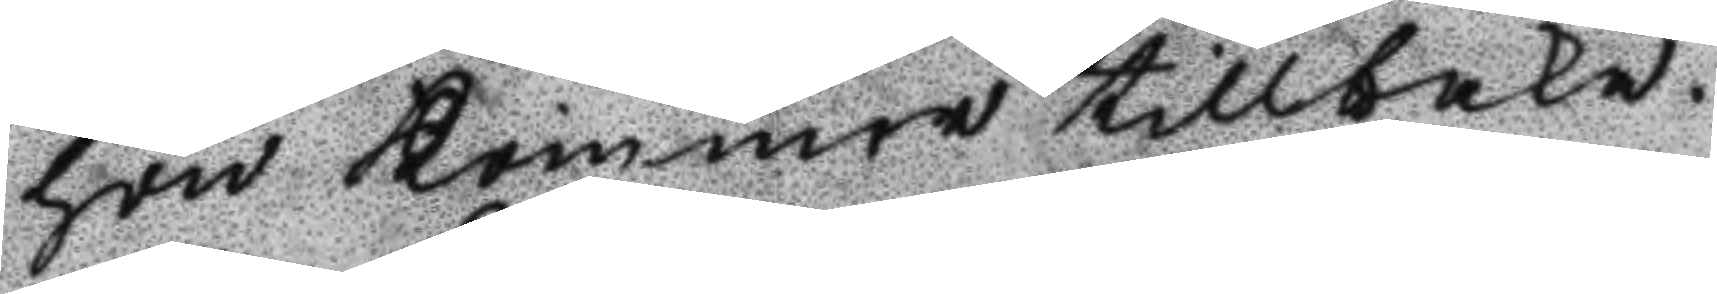hon kommer tillbaka.
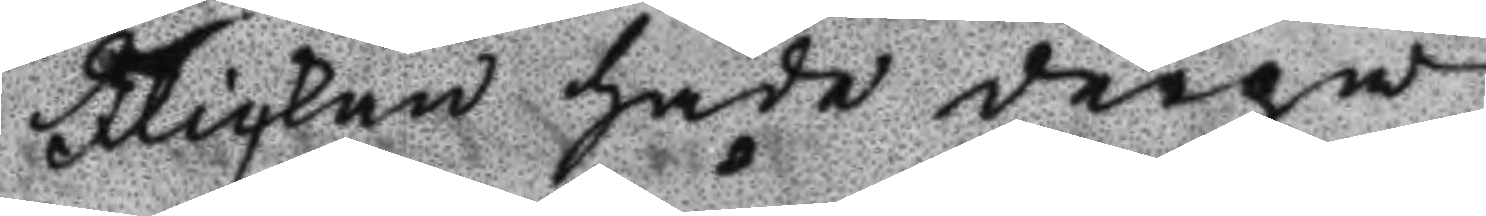Flickan hade derpå
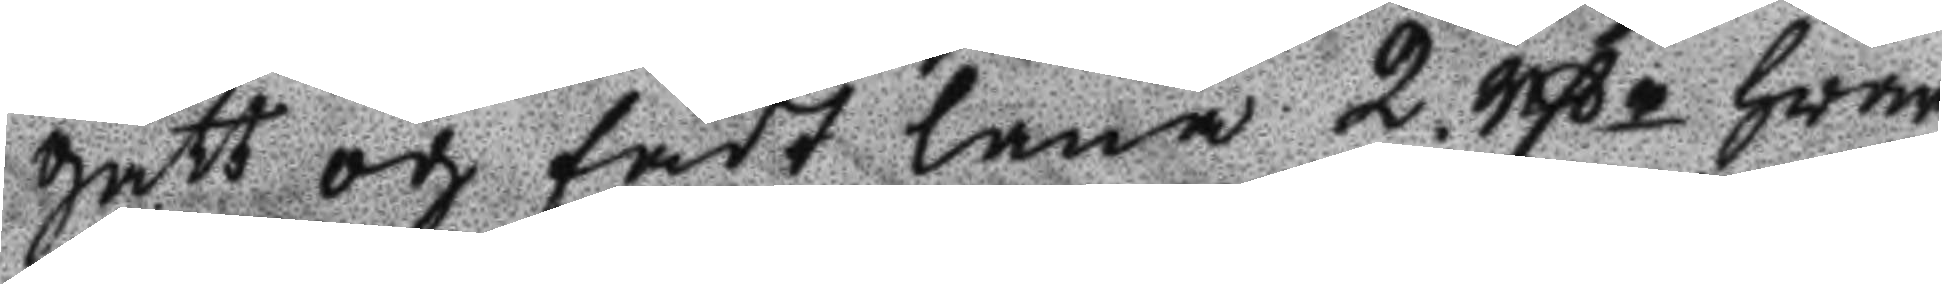gått och fådt låna 2 rßr hwar¬
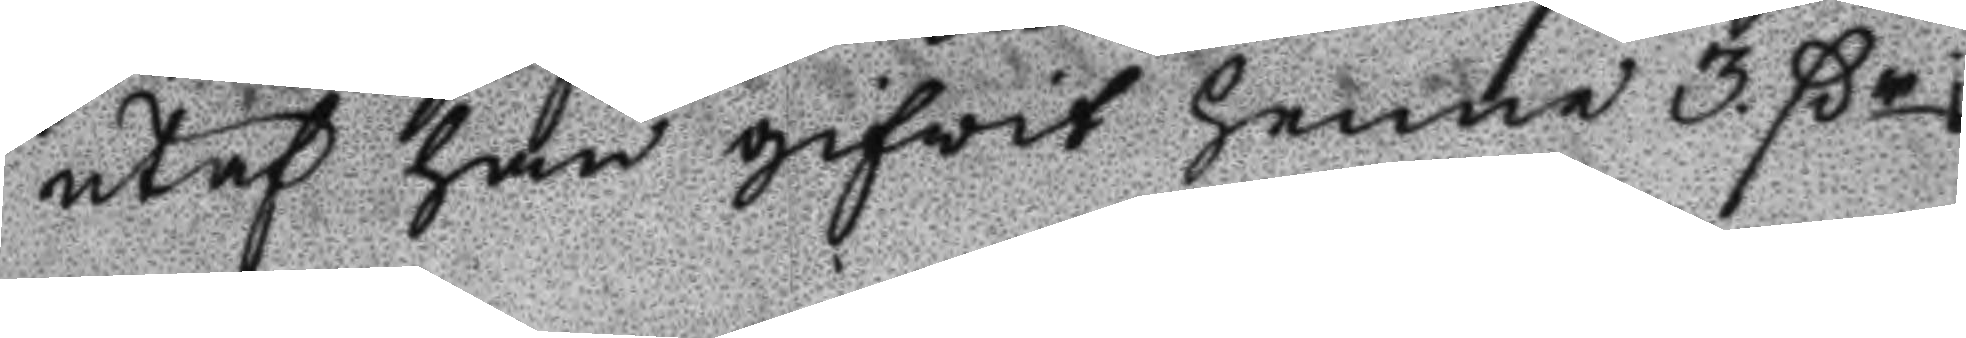utaf han gifwit henne 3 ßr i
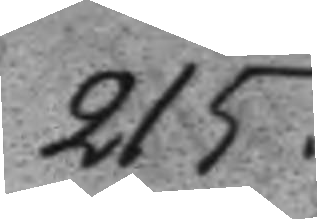215.
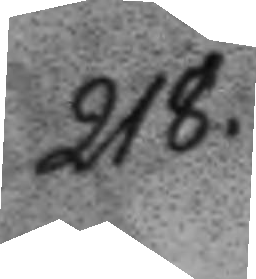218.
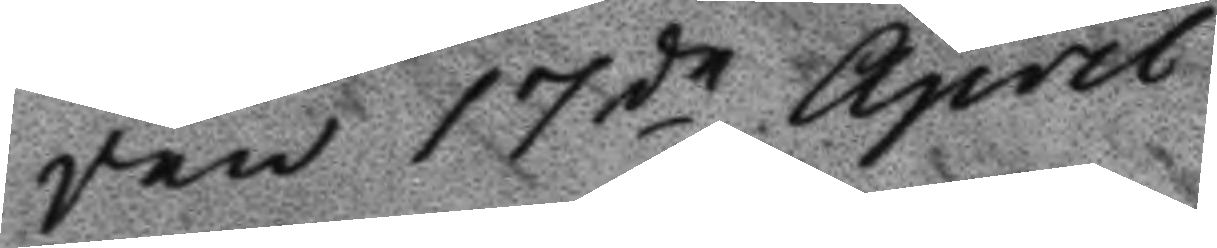Den 17de April
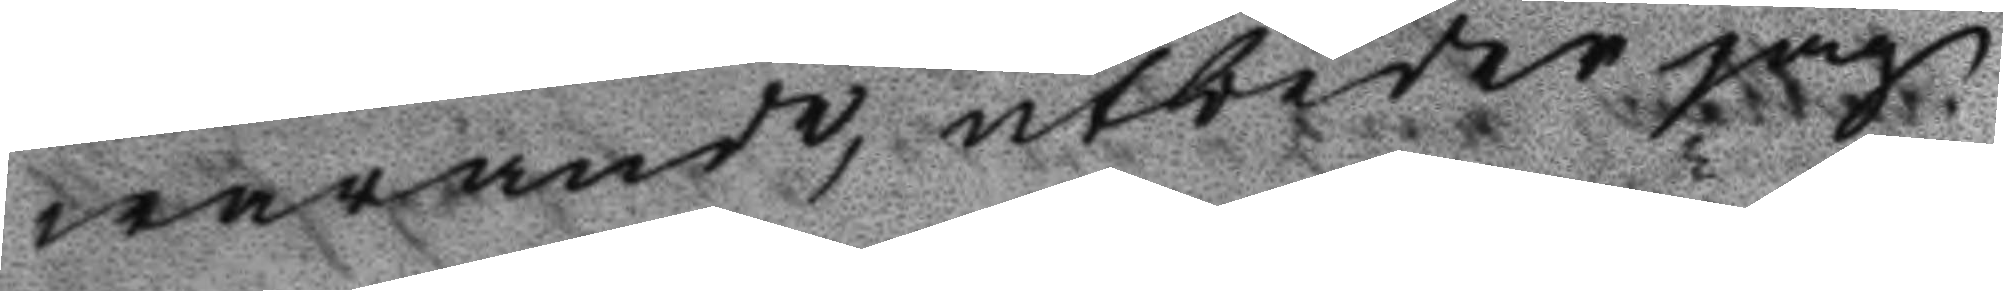warande, utbeder jag
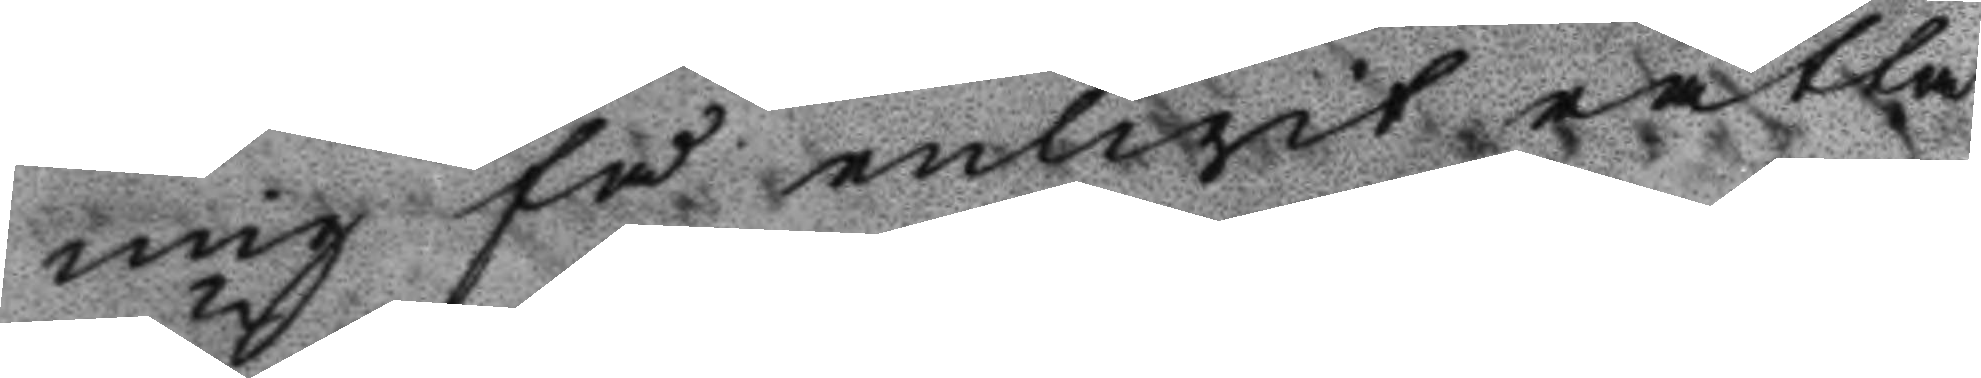mig få enligit rätta
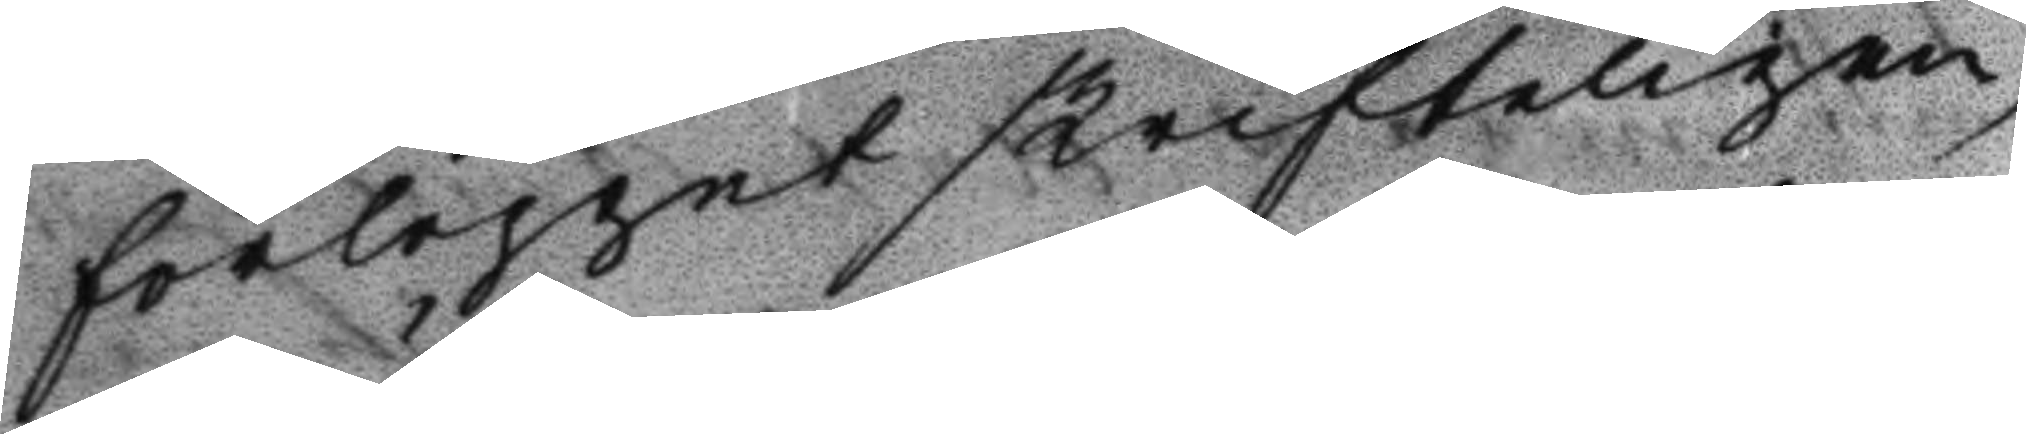förloppet skrifteligen
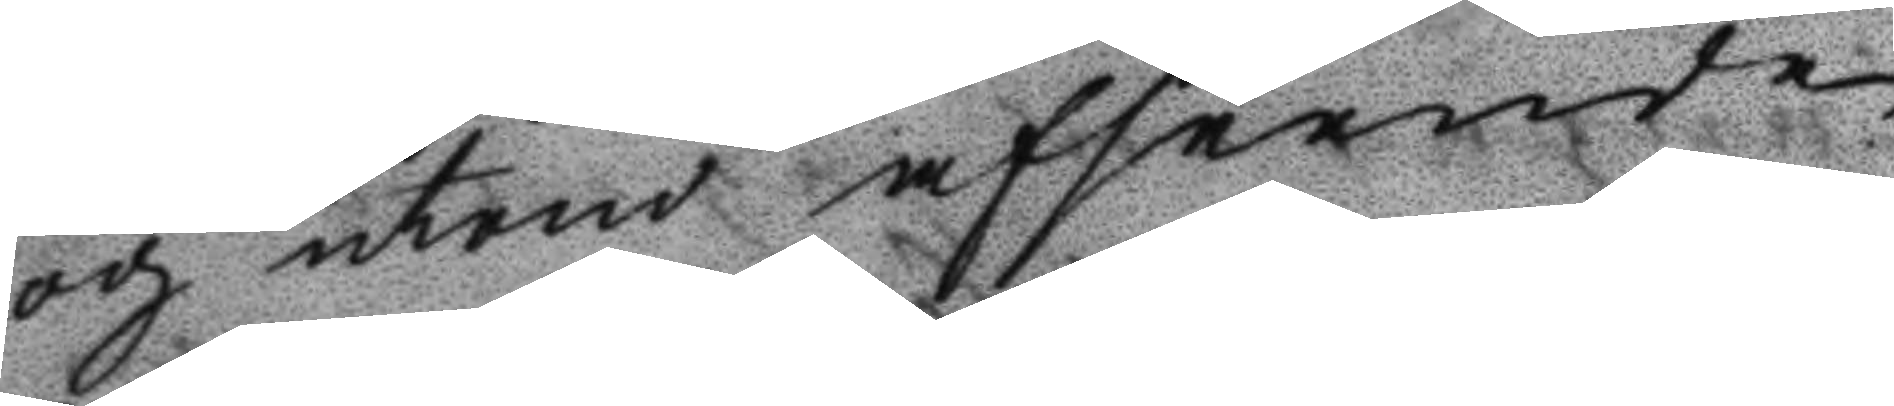och utom afseende
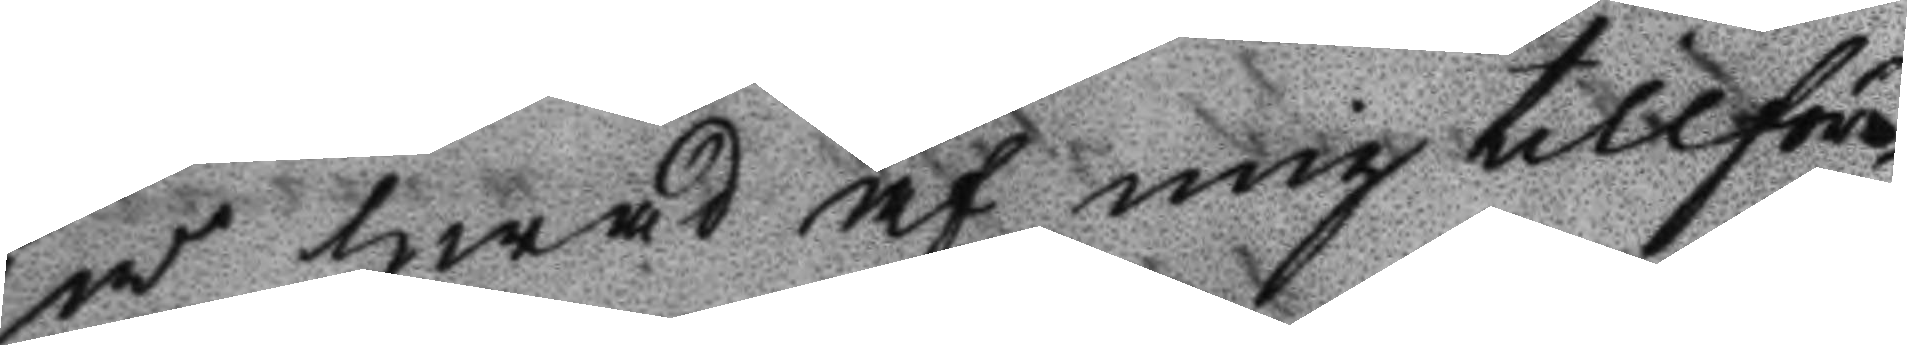på hwad af mig tillföre¬
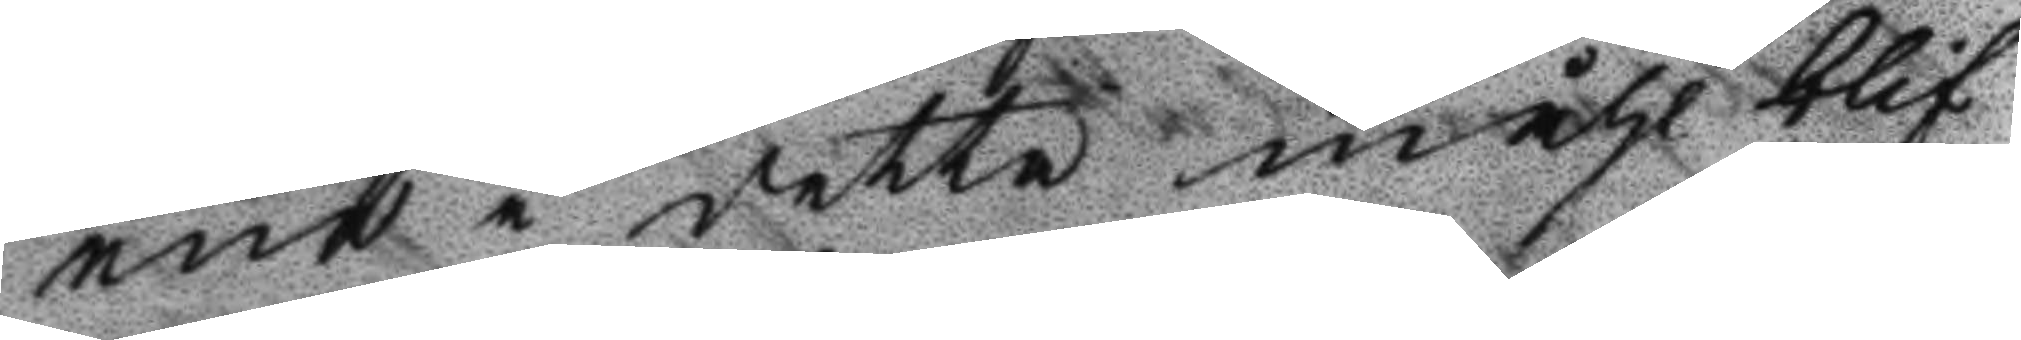ene i detta måhl blif¬
